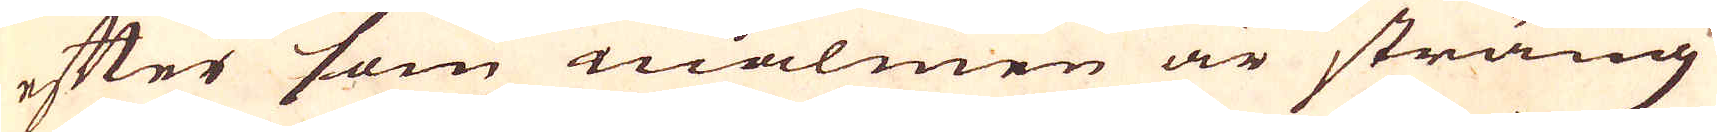efter som malmen är sträng
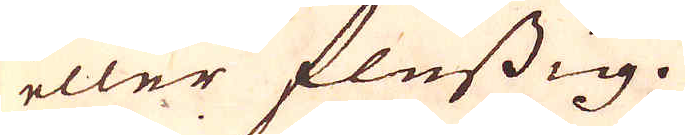eller flussig.
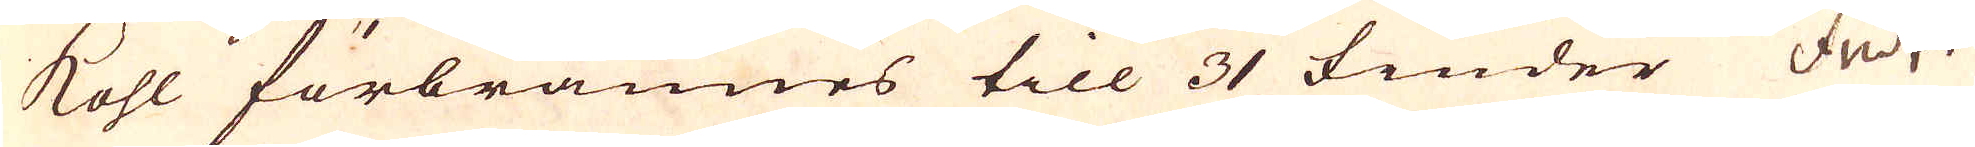Kohl förbrännes till 31 fiuder fuder
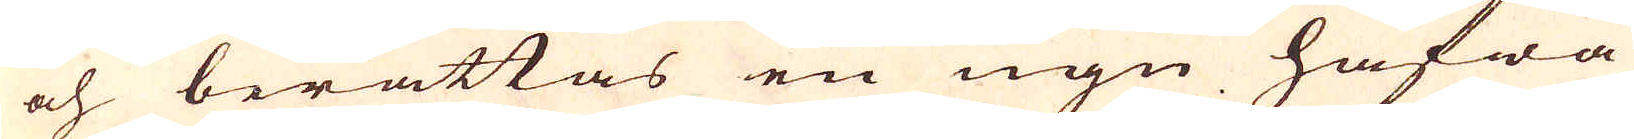och berättas en ugn hafwa
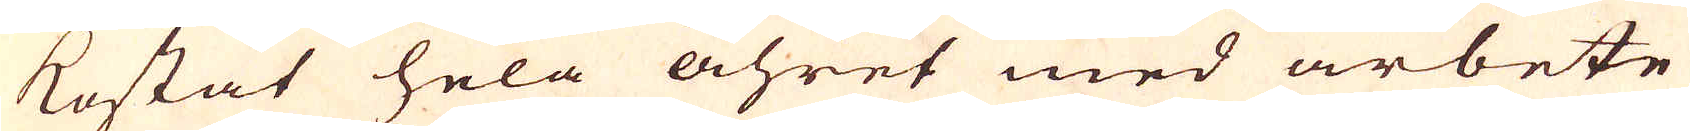kostat hela åhret med arbete
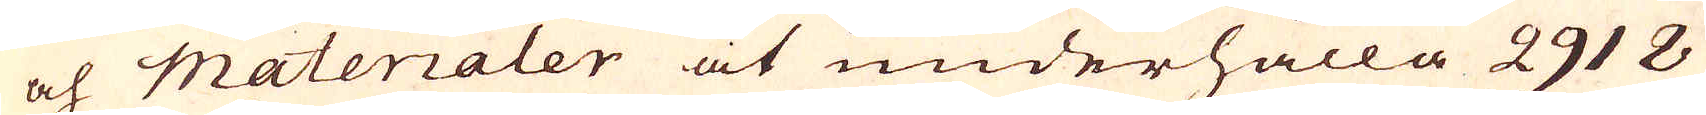och materialer at underhålla 2918
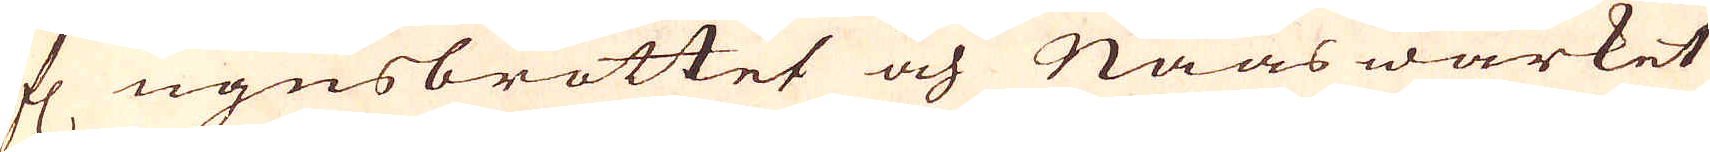fl ugnsbrottet och Naaswärket
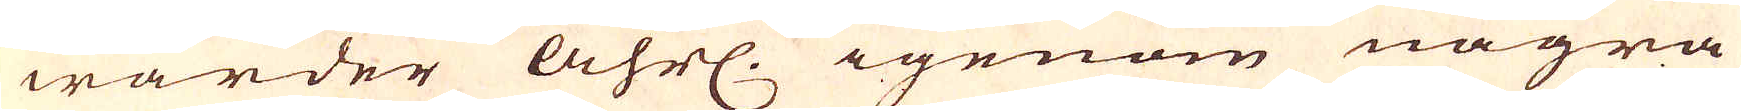warder åhrl. igenom några
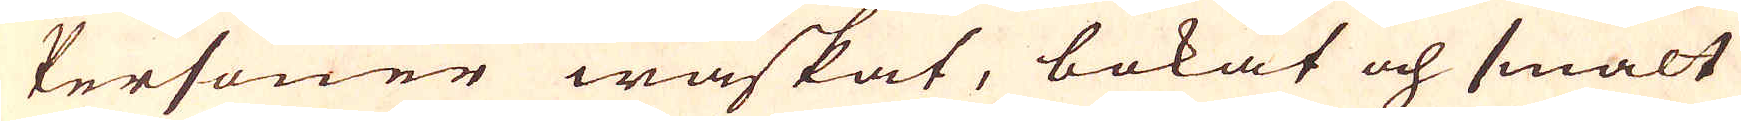Personer waskat, bokat och smält
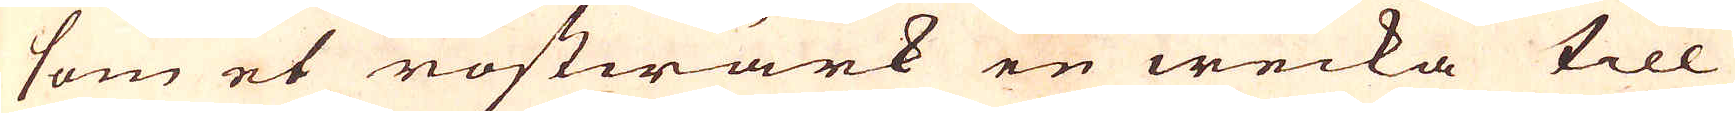som et rostwärk en wecka till
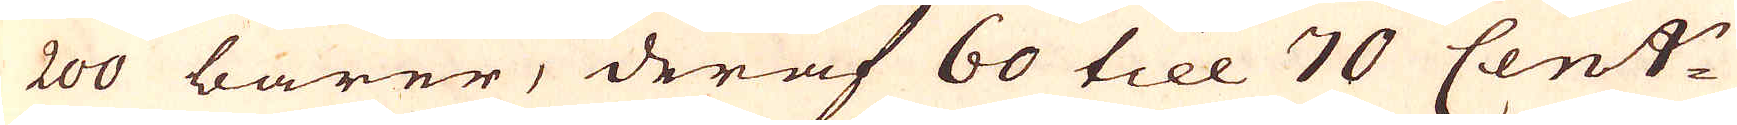200 barer, deraf 60 till 70 Cent:r
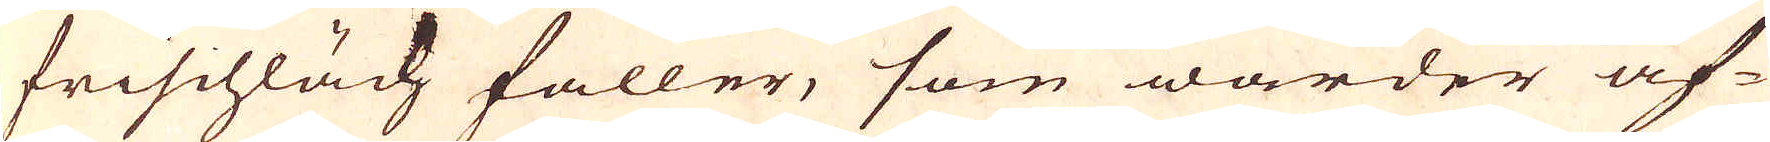frischläch faller, som warder äf-
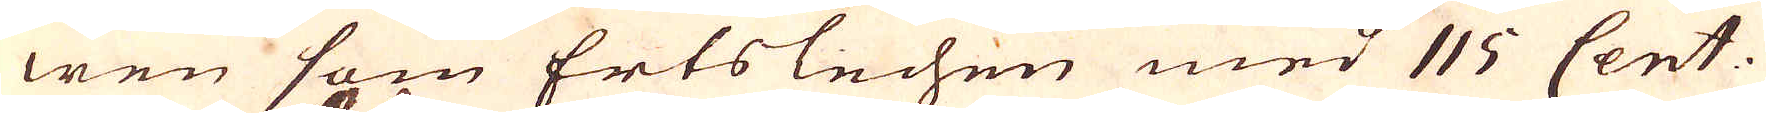wen som Ertslechen med 115 Cent.
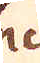lech
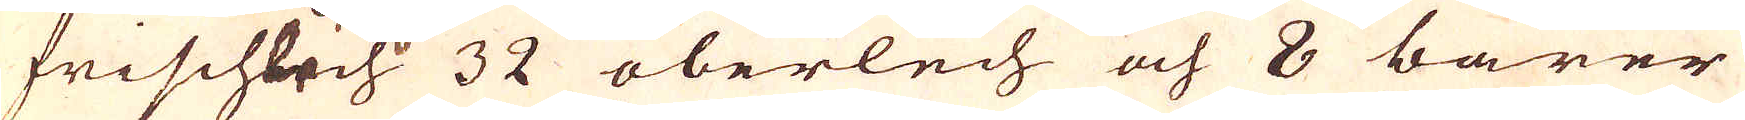frischlech 32 oberlech och 8 barer
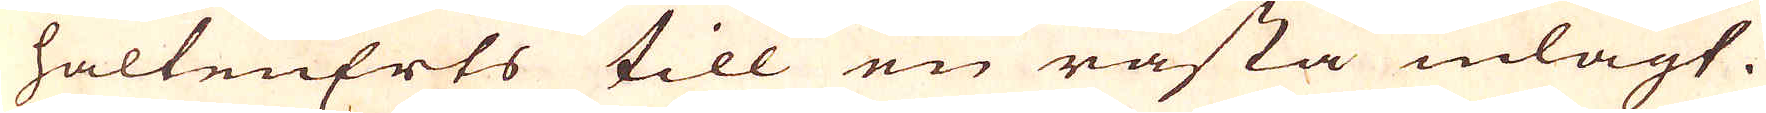haltenErts till en råsta inlagt.
